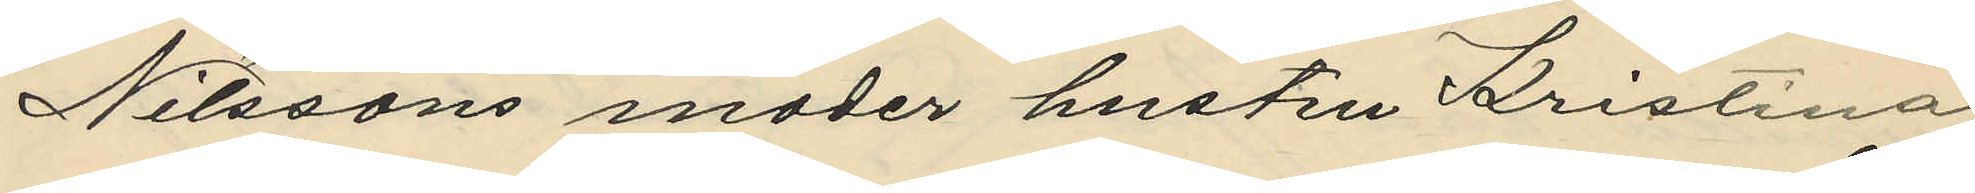Nilssons moder hustru Kristina
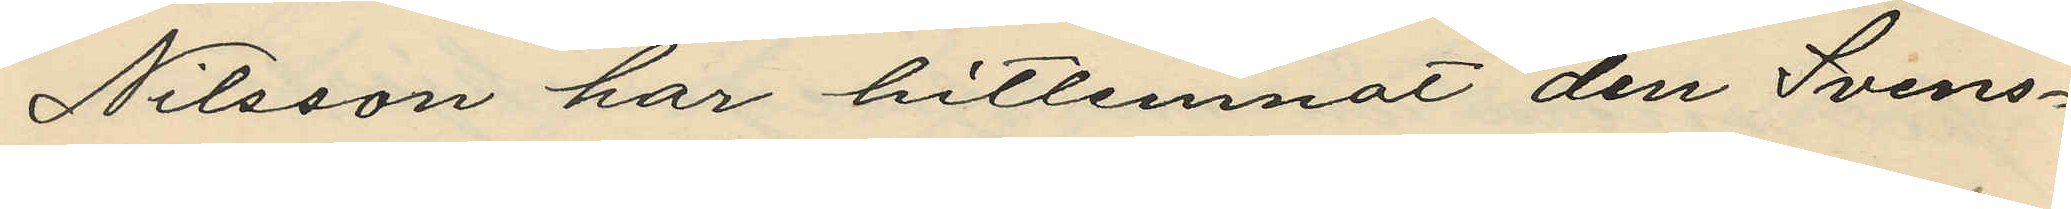Nilsson har hitlemnat den Svens¬
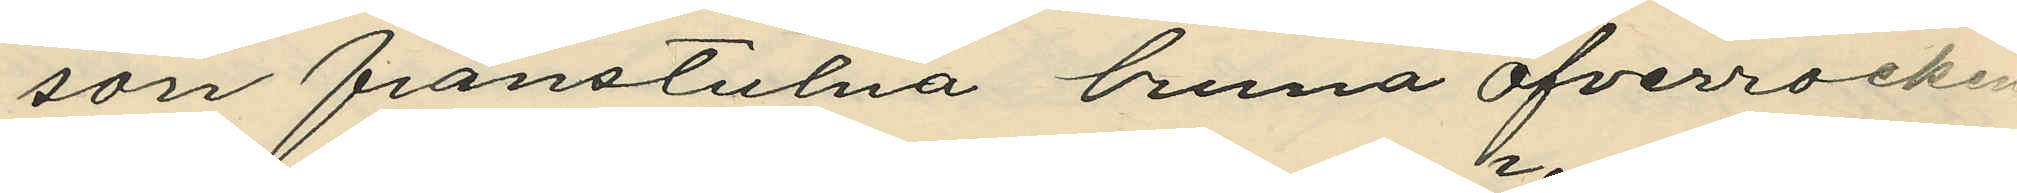son frånstulna bruna öfverrocken
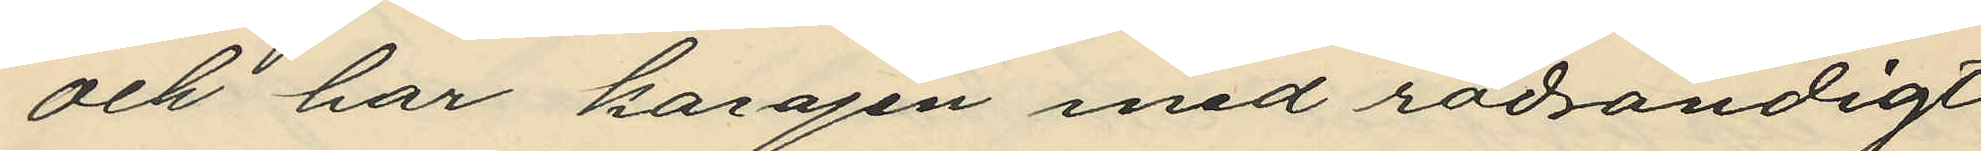och har kavajen med rödrandigt
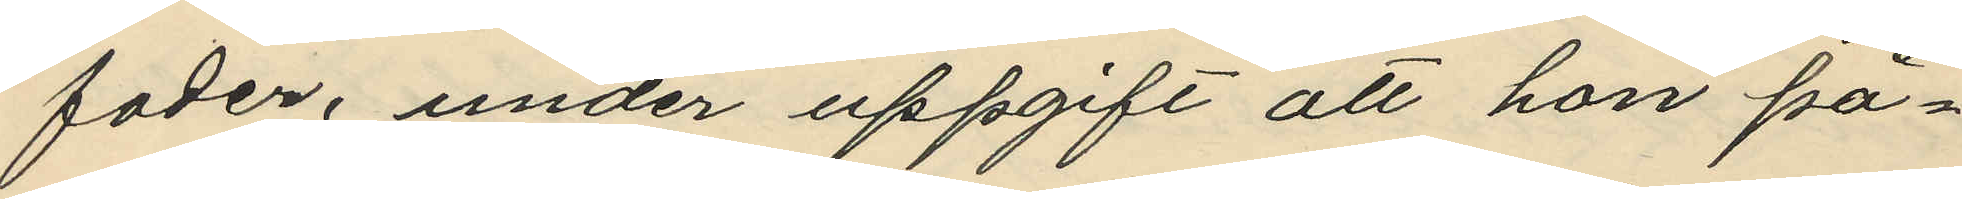foder, under uppgift att hon på¬
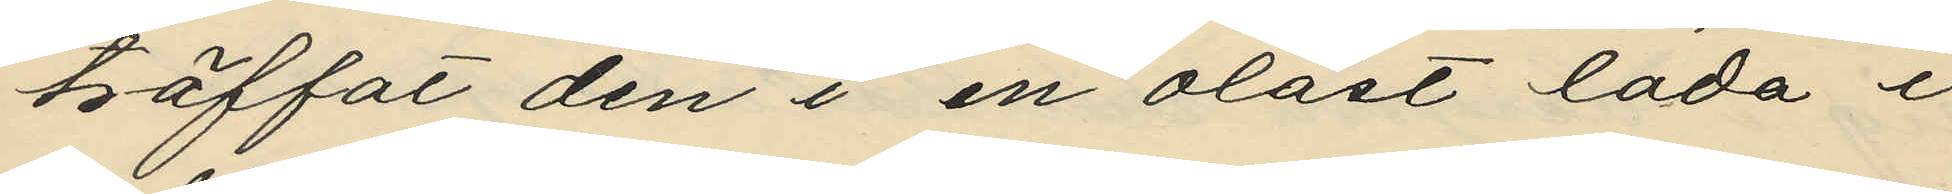träffat den i en olåst lada i
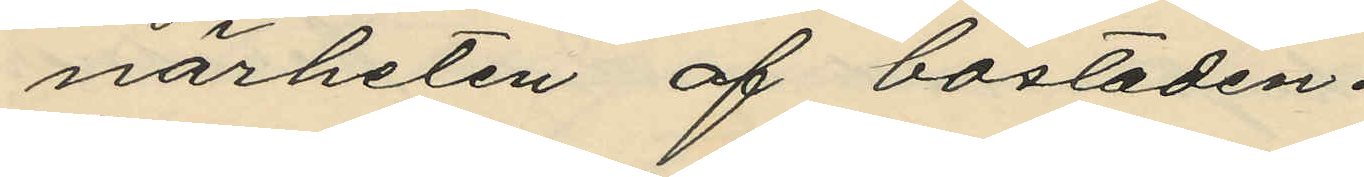närheten af bostaden.
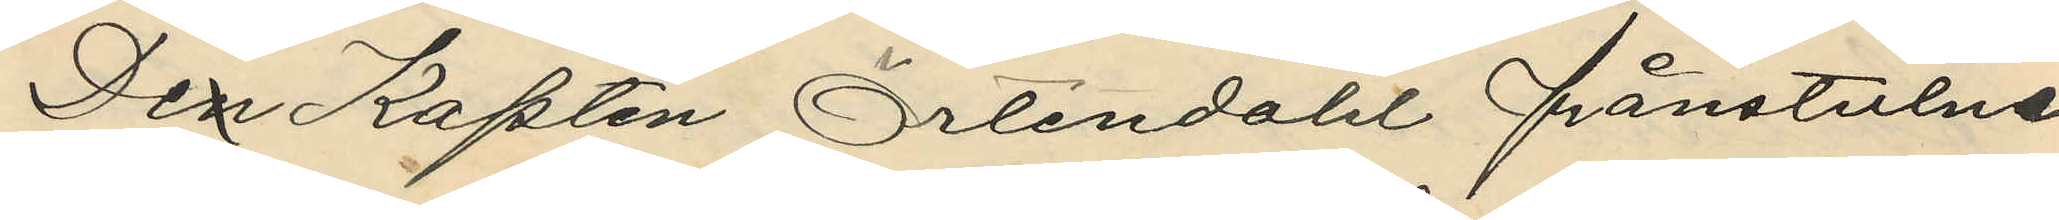Den Kapten Örtendahl frånstulne
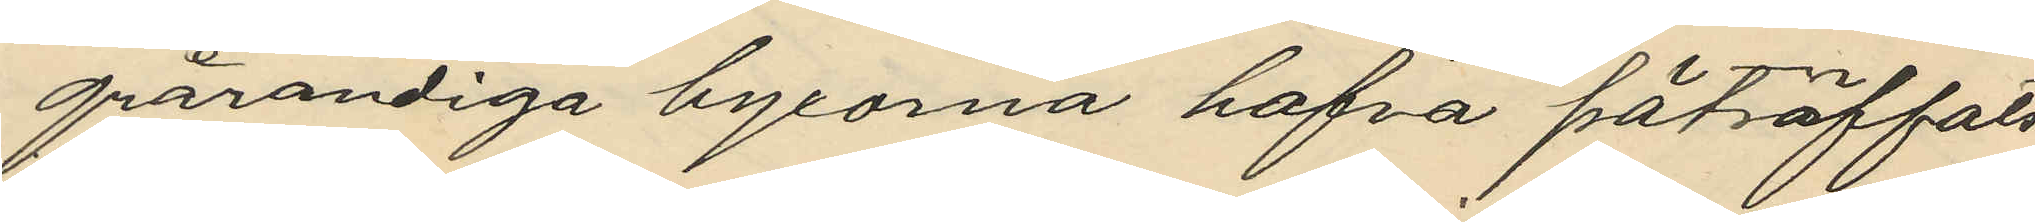grårandiga byxorna hafva påträffats
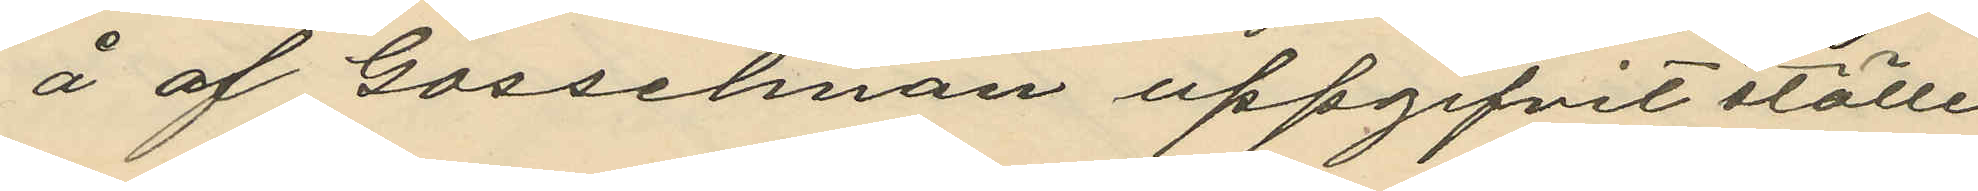å af Gossehman uppgifvit ställe
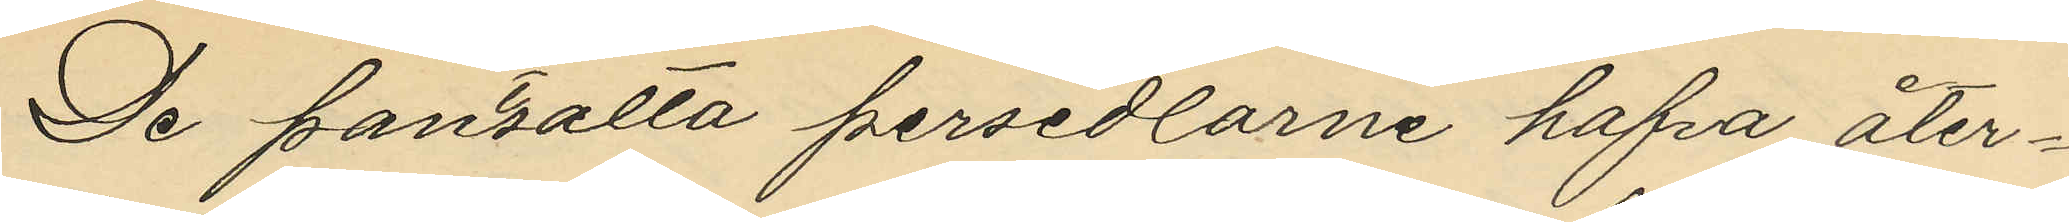De pantsatta persedlarne hafva åter¬
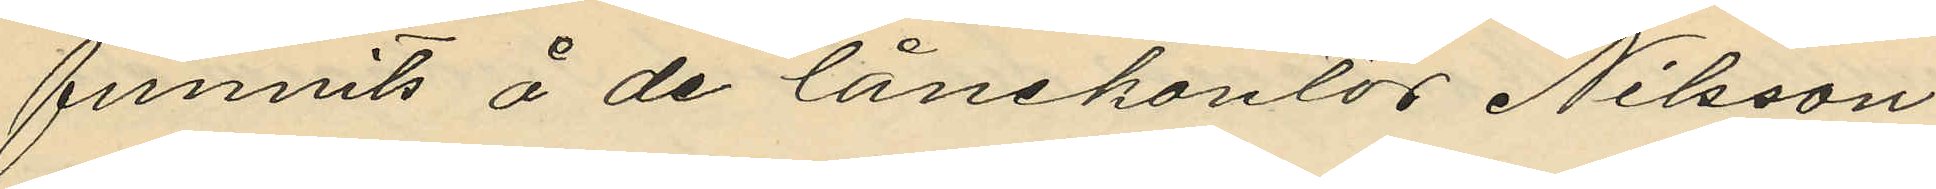funnits å de lånekontor Nilsson
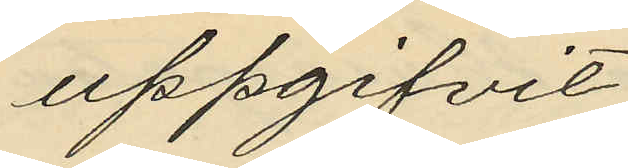uppgifvit.
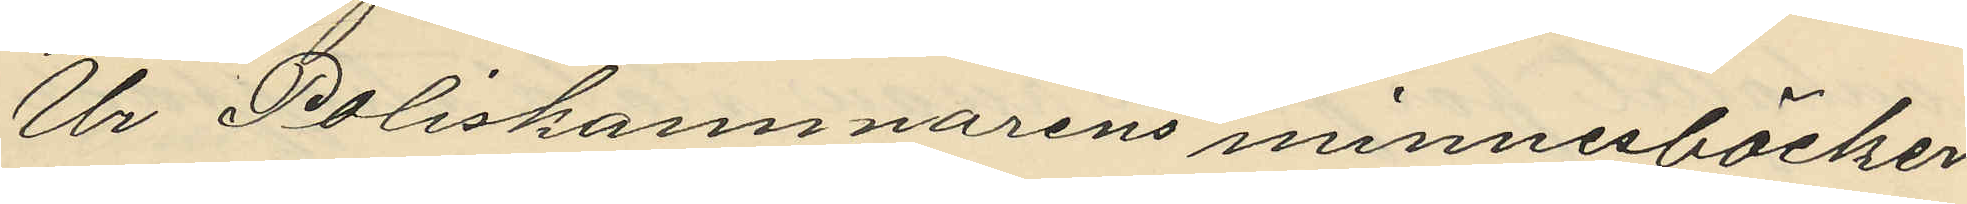Ur Poliskammarens minnesböcker
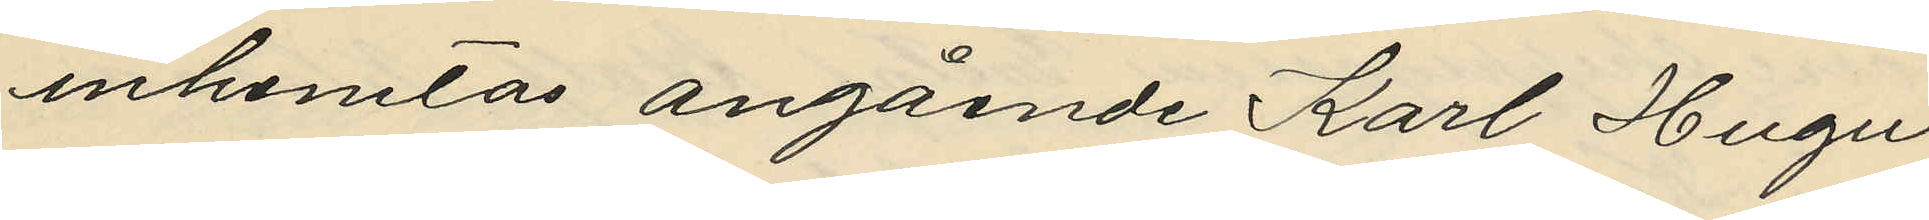inhemtas angående Karl Hugu
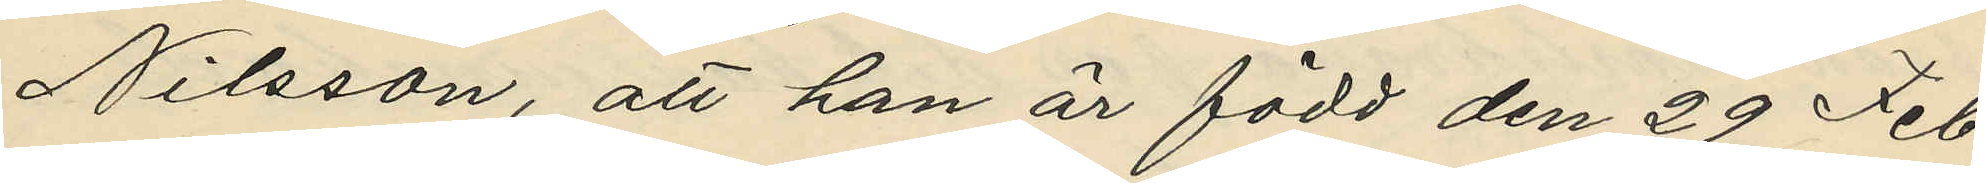Nilsson, att han är född den 29 Feb¬
